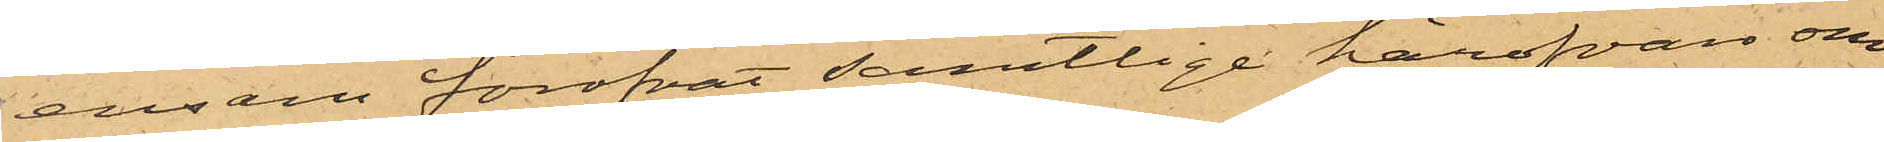ensam föröfvat samtlige härofvan om¬
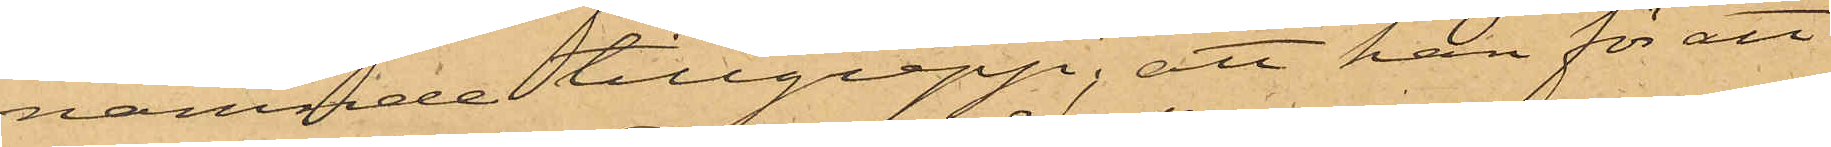nämnde tillgrepp; att han för att
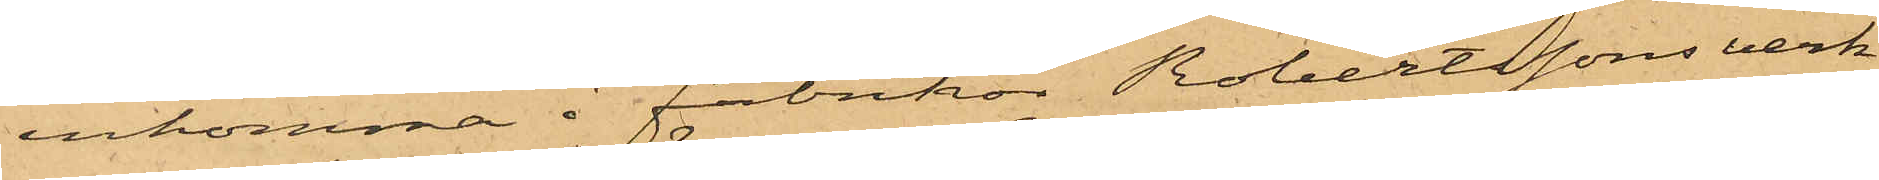inkomma i Fabrikör Robertssons verk¬
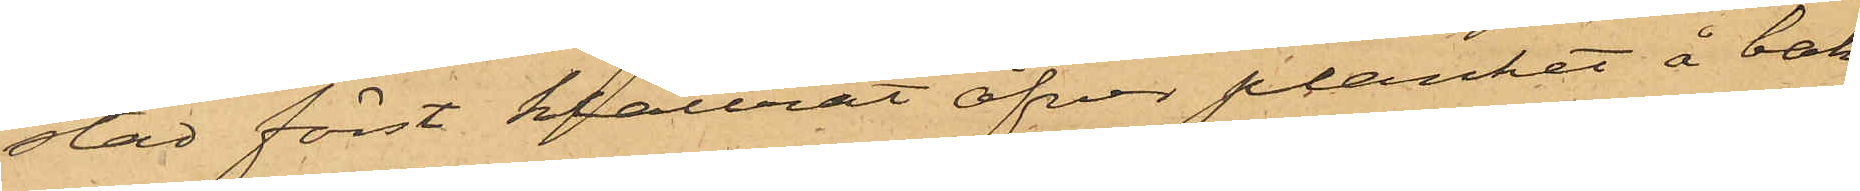stad först klättrat öfver planket å bak¬
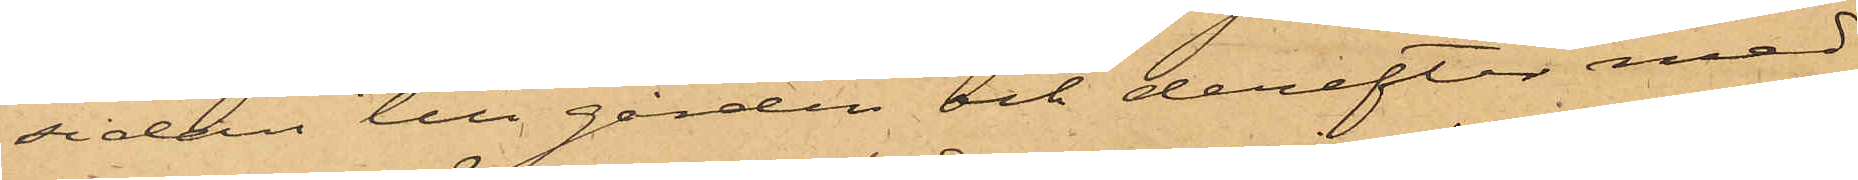sidan till gården och derefter med
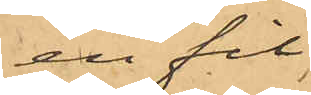en fil
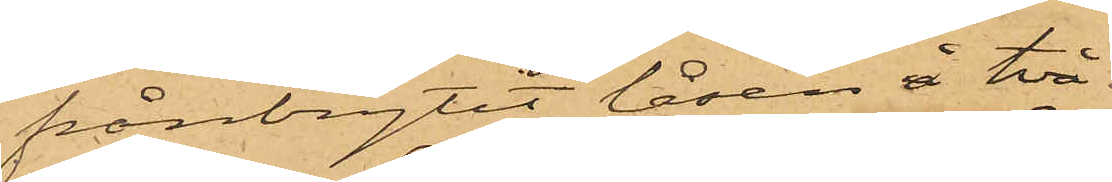frånbrytit låsen å två
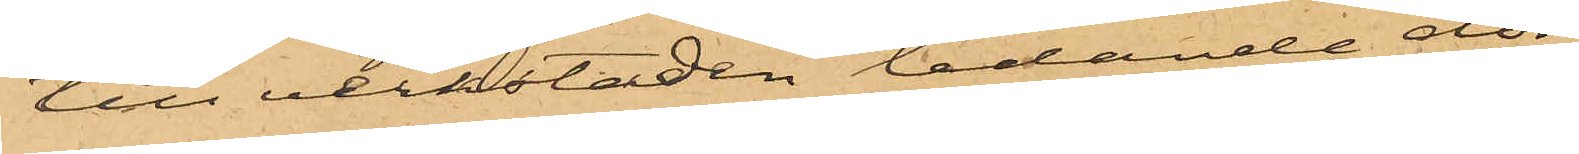till verkstaden ledande dör¬
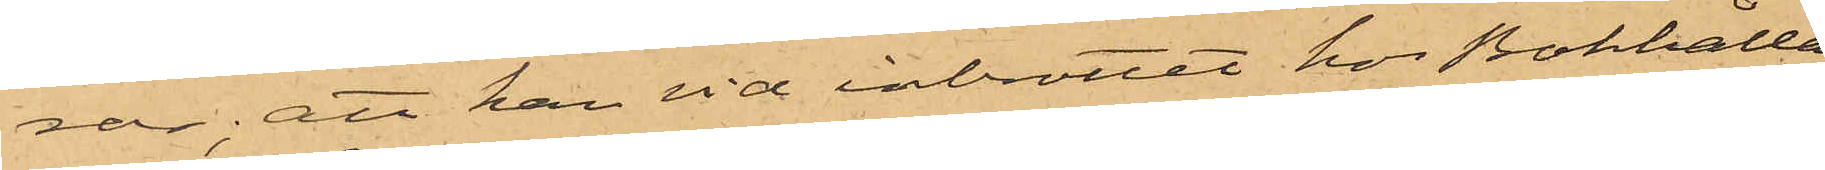rar; att han vid inbrottet hos Bokhålla¬
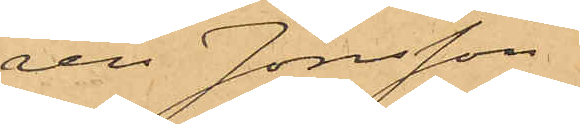ren Jönsson
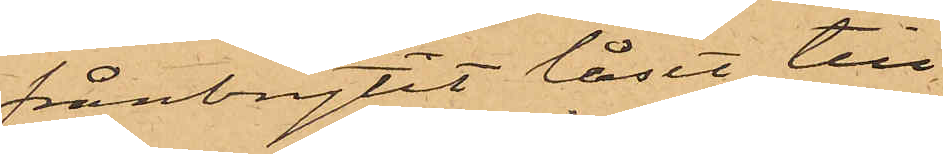frånbrytit låset till
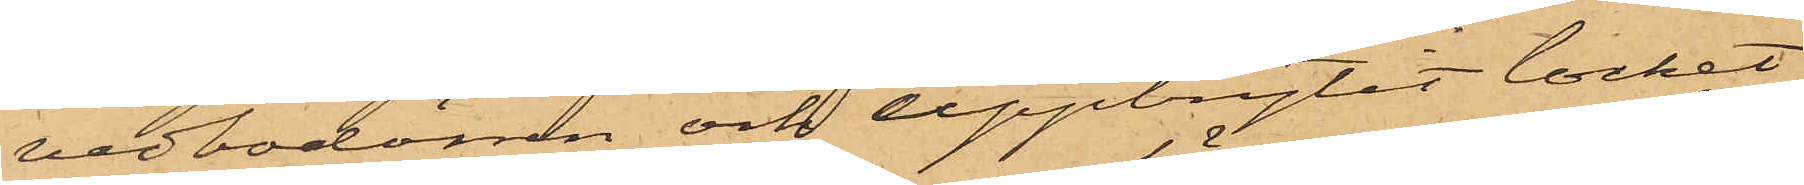vedbodörren och uppbrytit locket
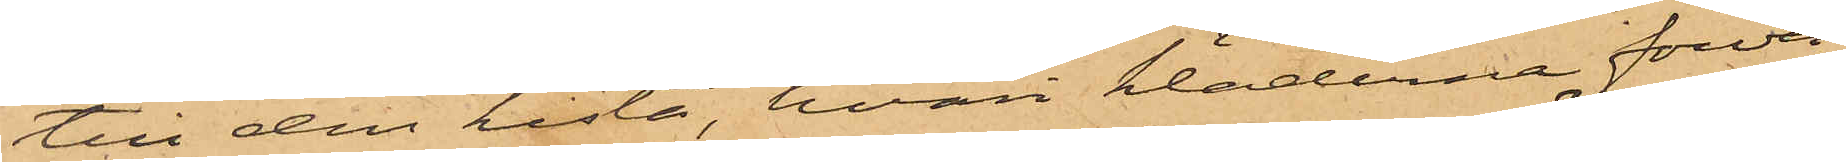till den kista, hvari kläderna förva¬
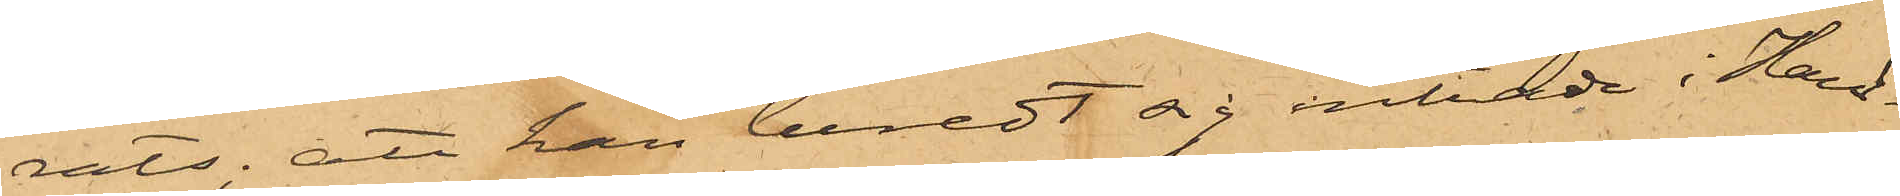rats; att han beredt sig inträde i Hand¬
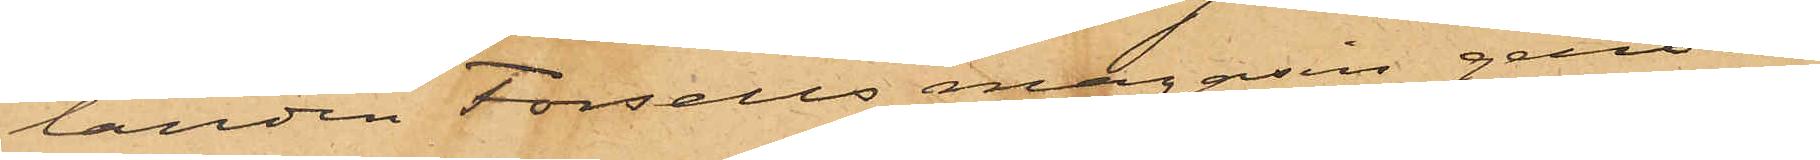landen Forsells magasin genom
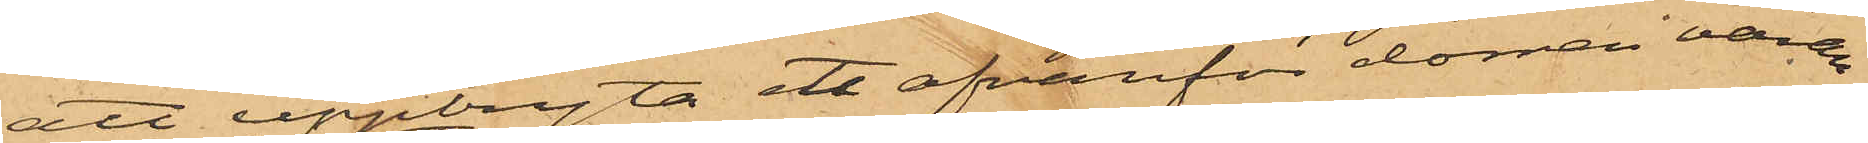att uppbryta ett ofvanför dörren varan¬
